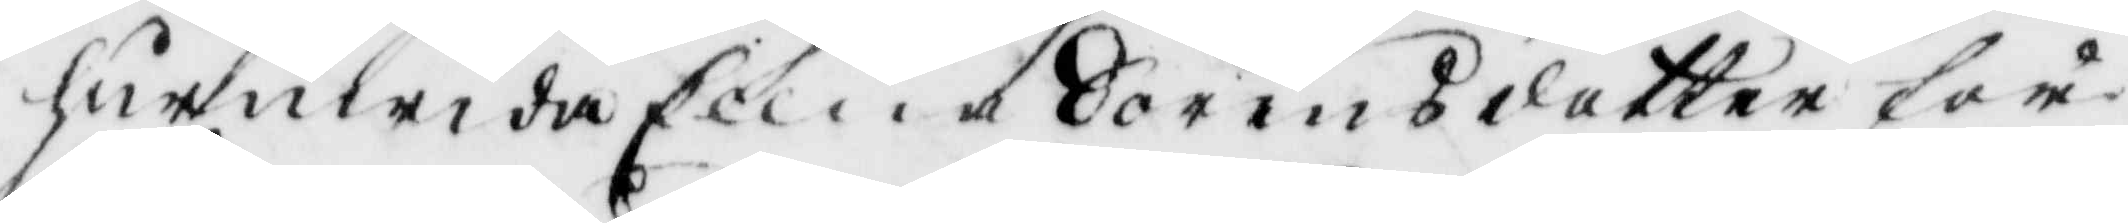huruwida Ellna Sörensdotter för
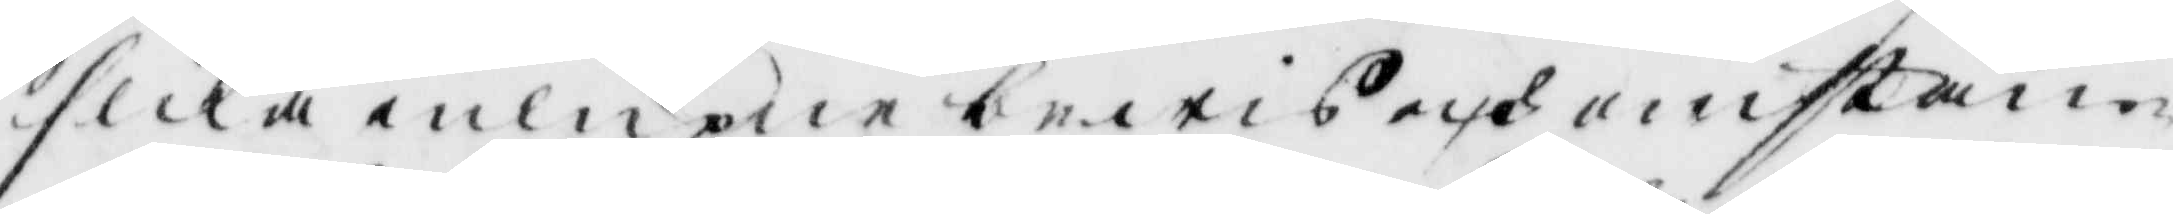slika inlupne bewis och omstän¬
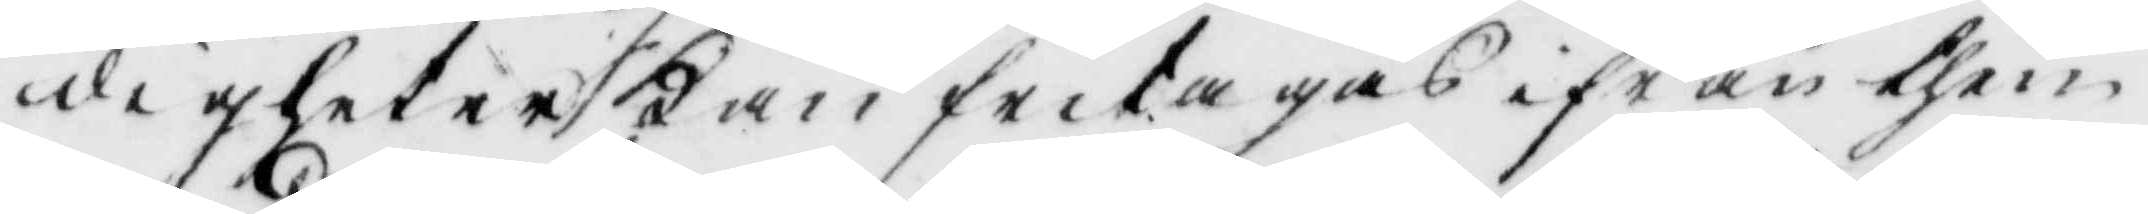digheter kan fritagas ifrån then
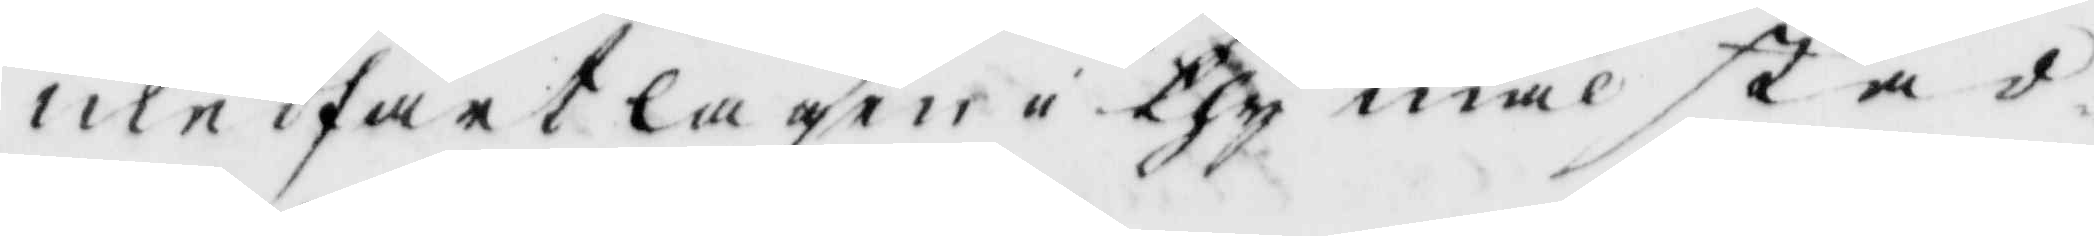medfartlagen i thy mål stad¬
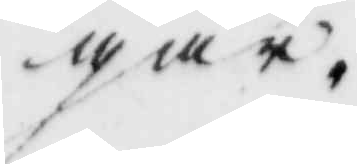gar.
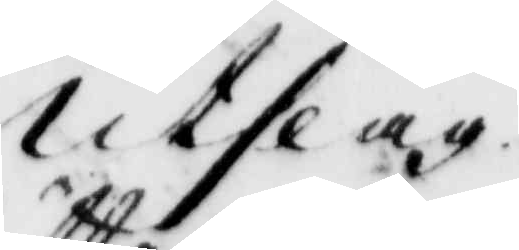Utslag
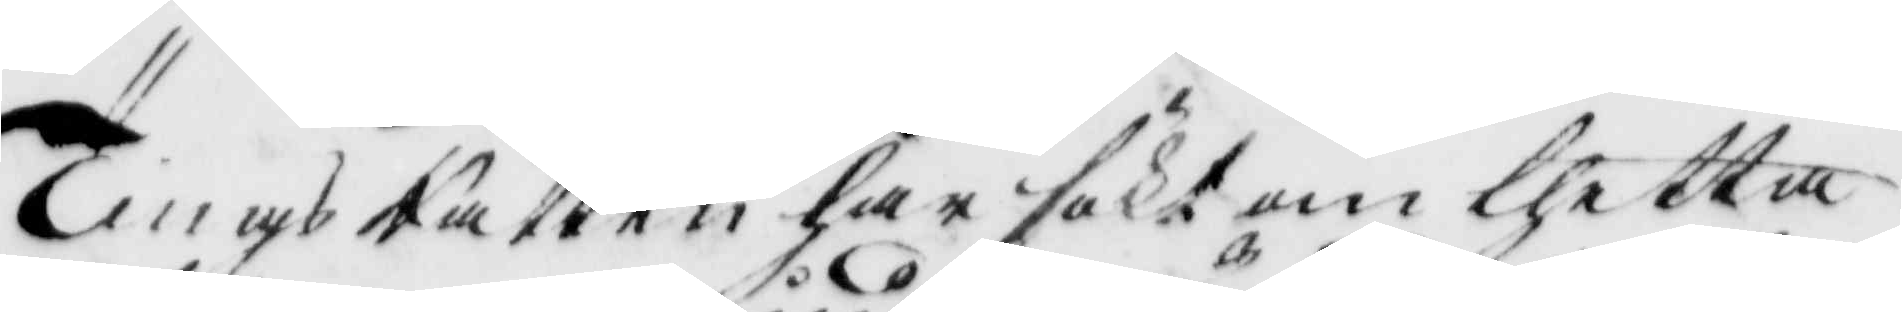TingsRätten har sökt om thetta
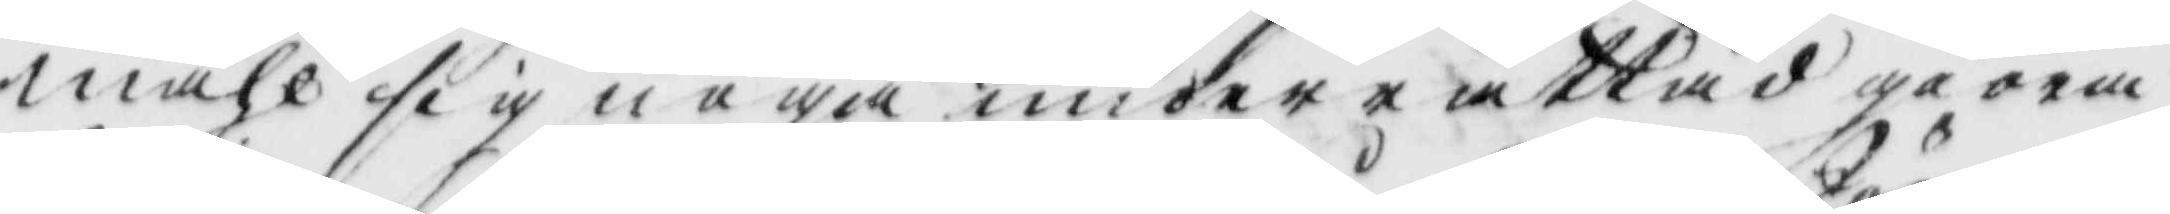måhl sig noga underrättad giöra
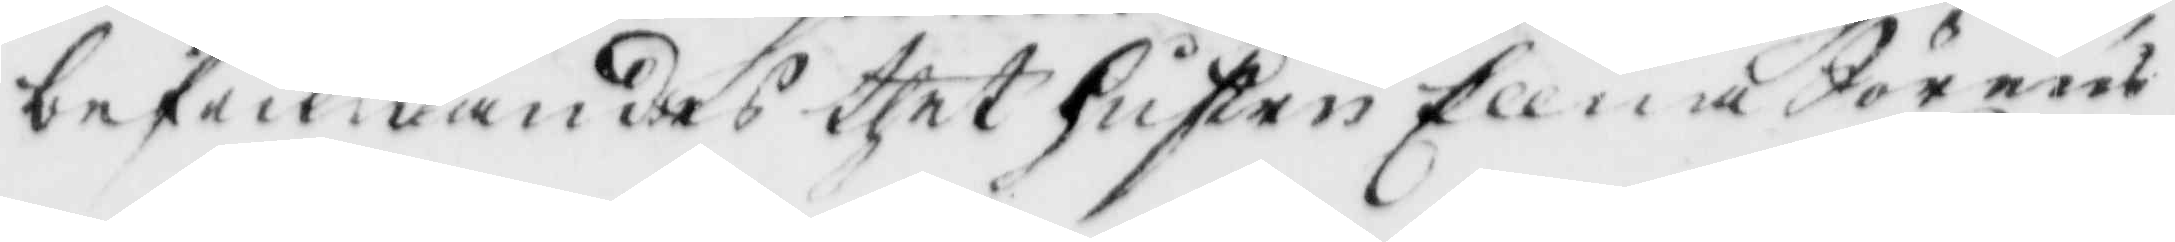befinnandes thet hustru Ellna Sörens¬
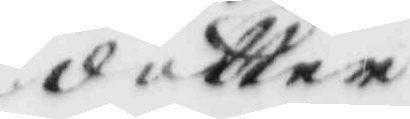dotter
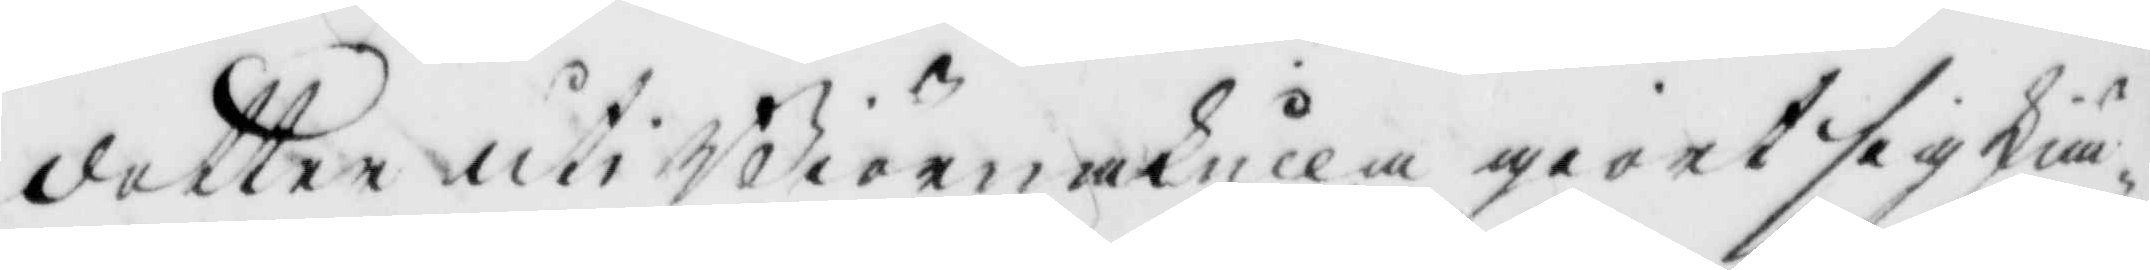dotter uti Biörnakulla giort sig skiä¬
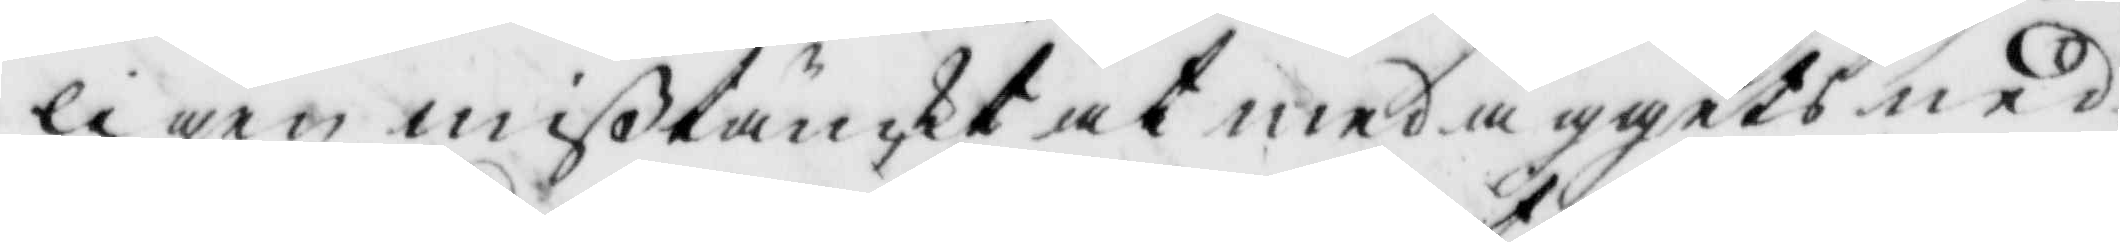ligen mißtänckt at med äggets ned¬
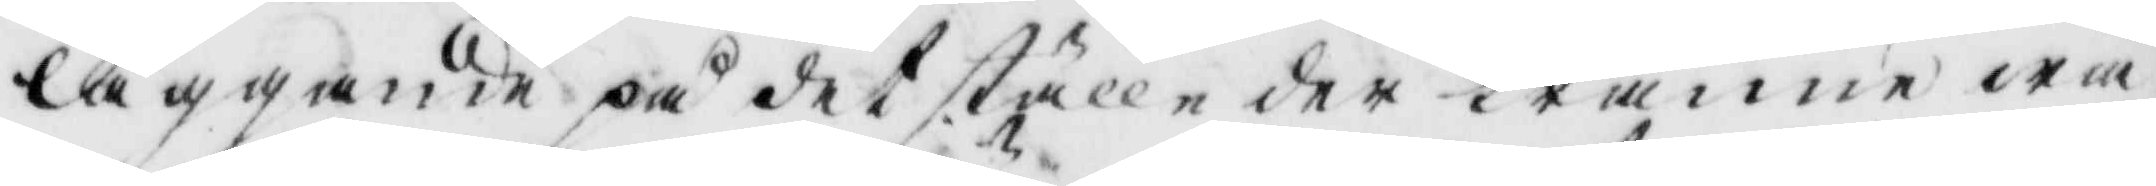läggande på det ställe der tränne wä¬
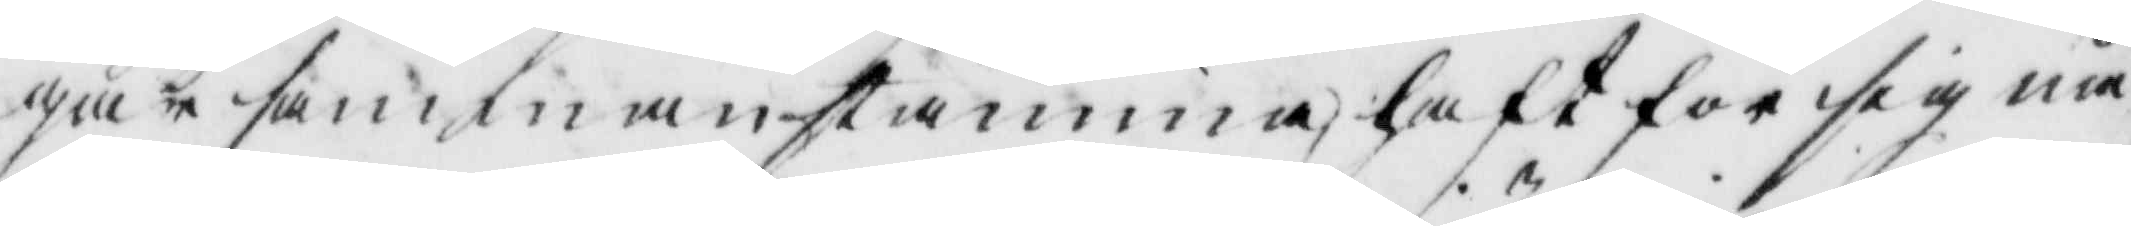gar sammanstämma, haft för sig nå¬
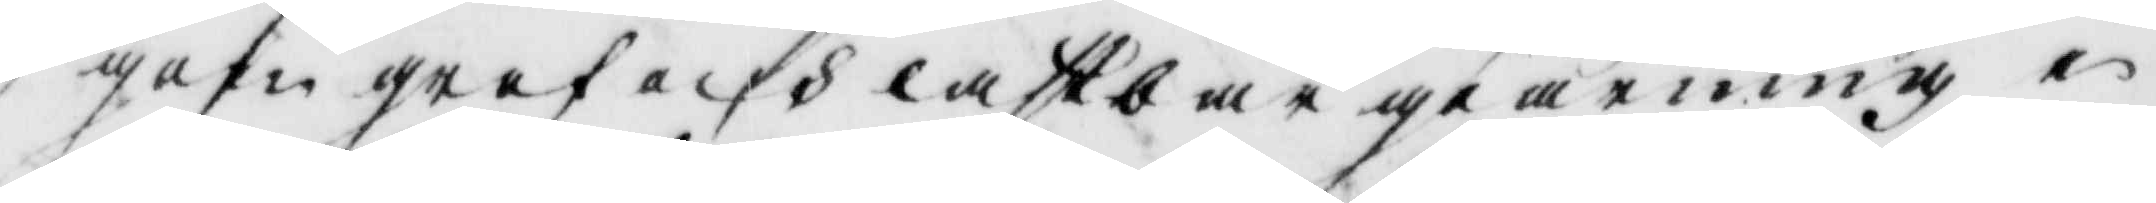gon grof och lastbar giärning i
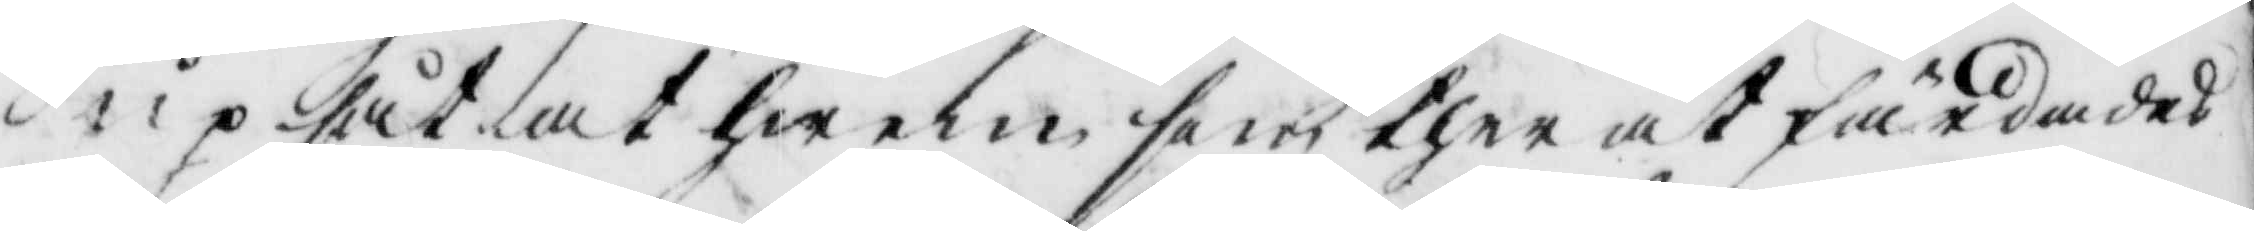upsåt at hwem som ther åt färdades
